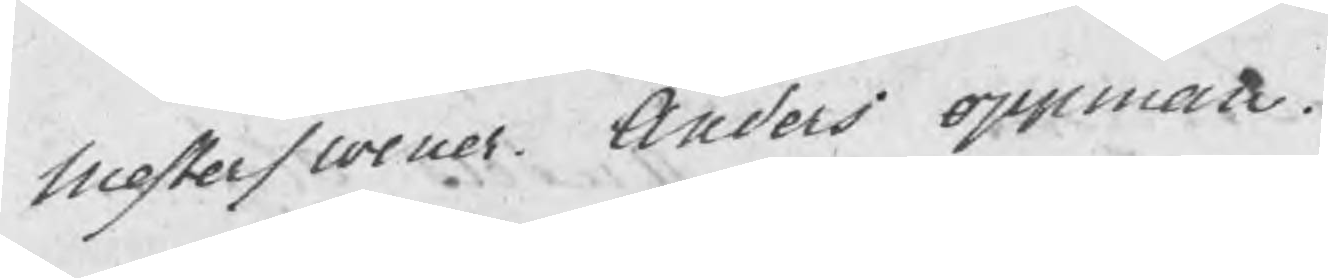Mesterswener Anders Oppman.
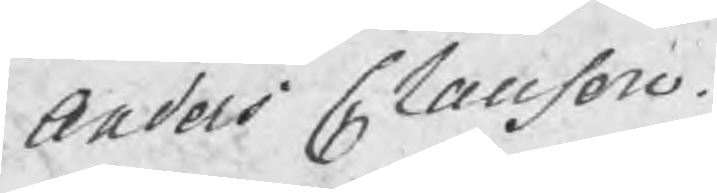Anders Claesson.
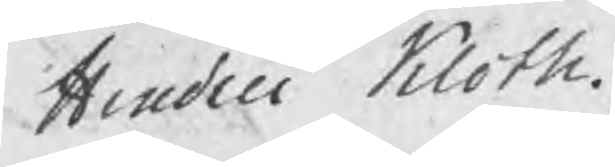Hindric Kloth.
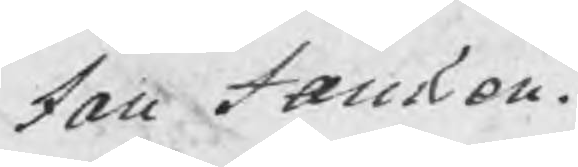Jan Jansson.
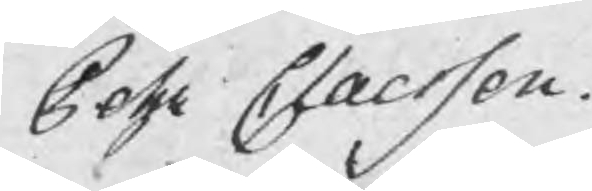Pehr Claesson.
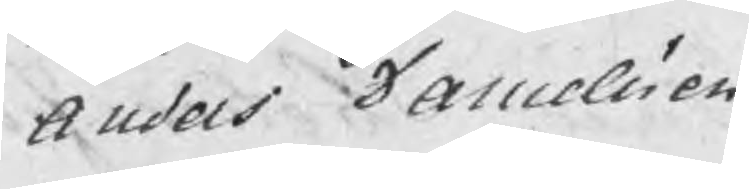Anders Danielsson
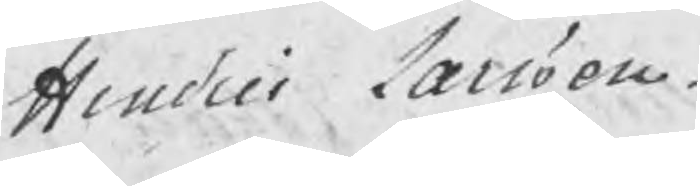Hindric Larsson.
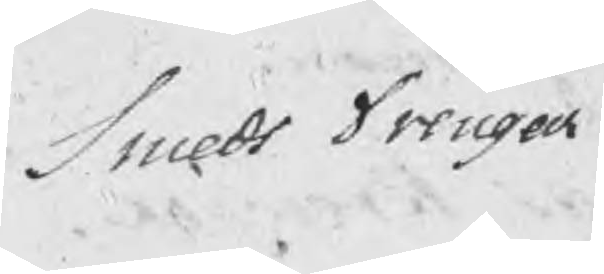Smeds Drengar
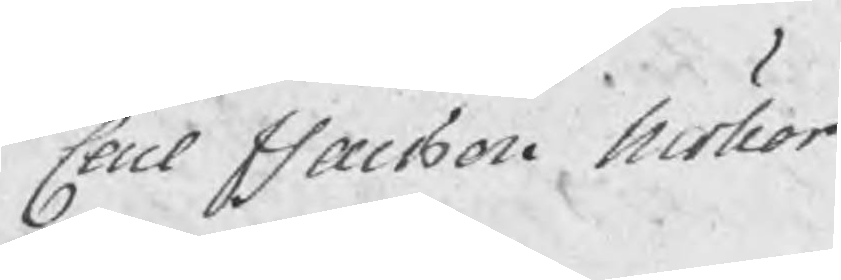Carl Isacsson Möller
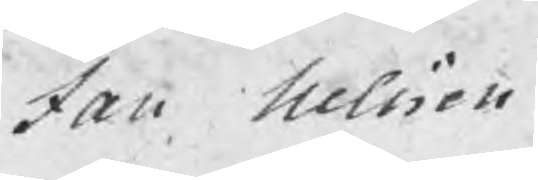Jan Nilsson.
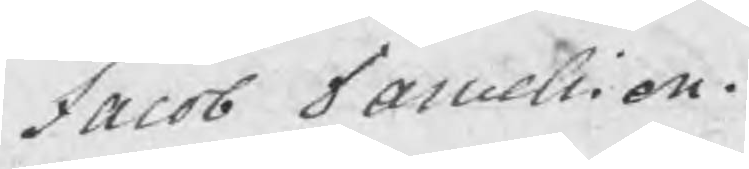Jacob Danielsson.
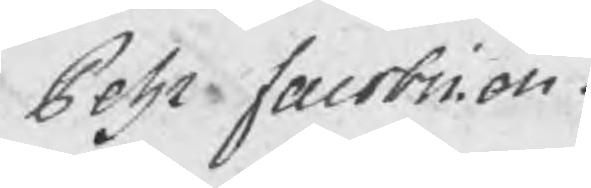Pehr Jacobsson.
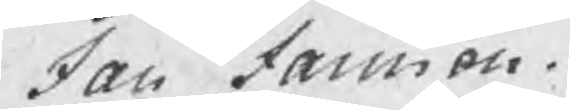Jan Jansson.
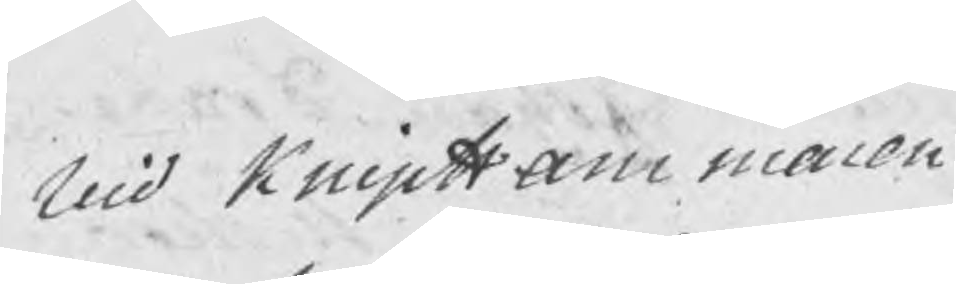Vid KnipHammaren
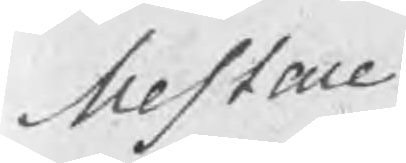Mestare
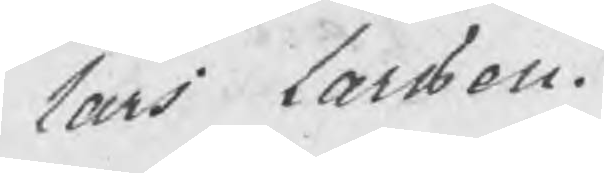Lars Larsson.
